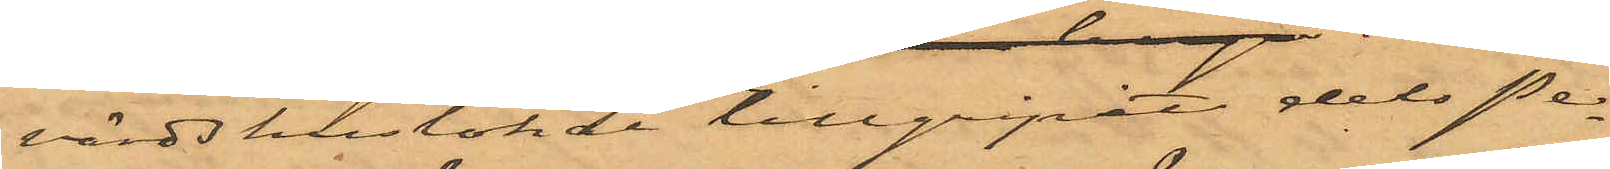värdshuslokal tillgripit dels Pe¬
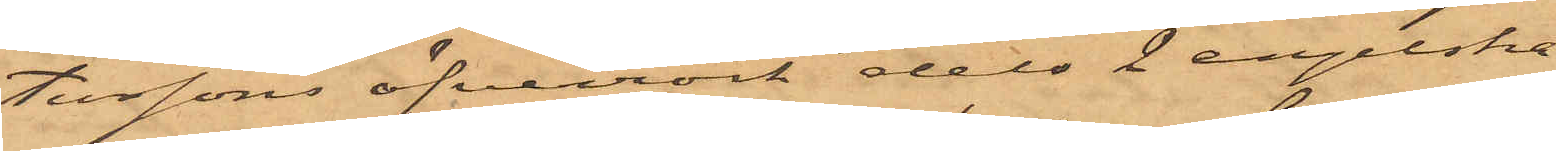terssons öfverrock dels 2 engelska
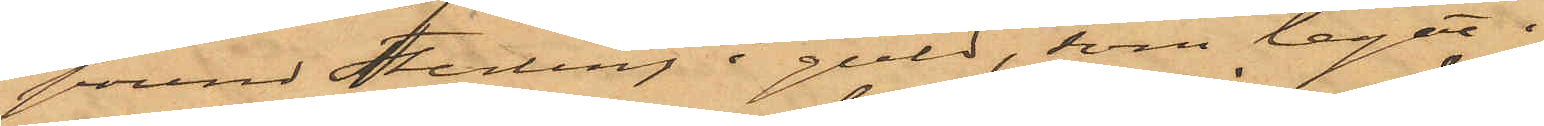pound Sterling i guld, som legat i
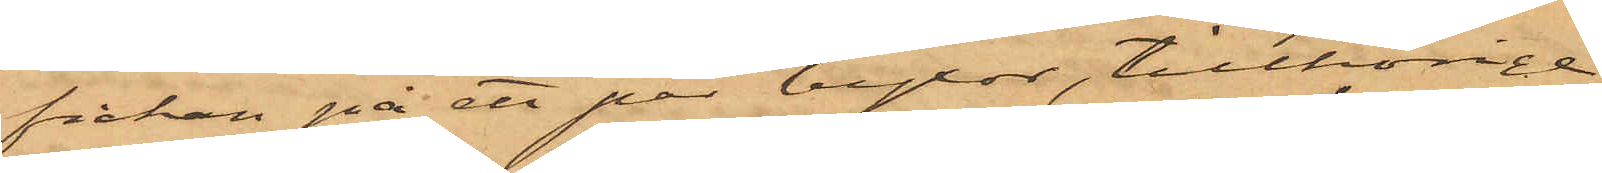fickan på ett par byxor, tillhörige
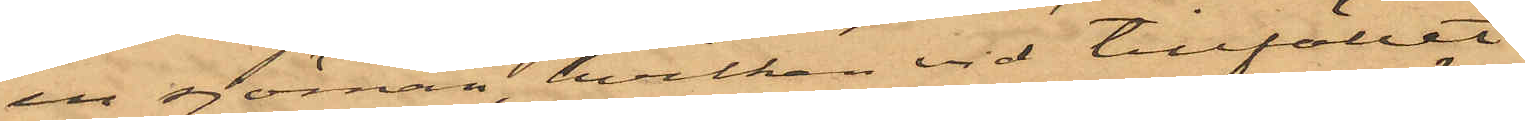en sjöman, hvilken vid tillfället
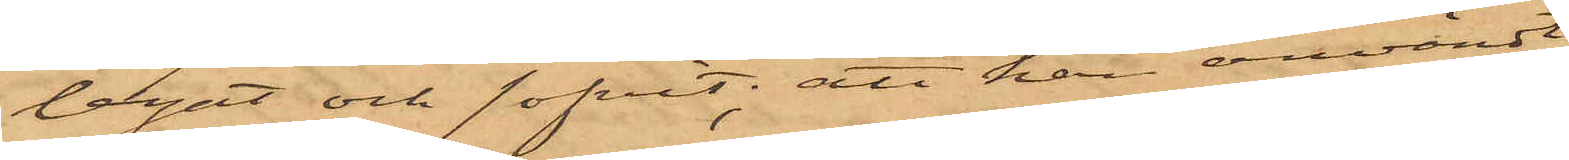legat och sofvit; att han användt
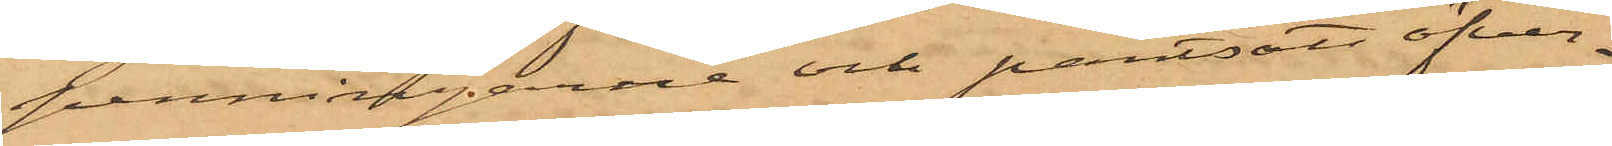penningarne och pantsatt öfver¬
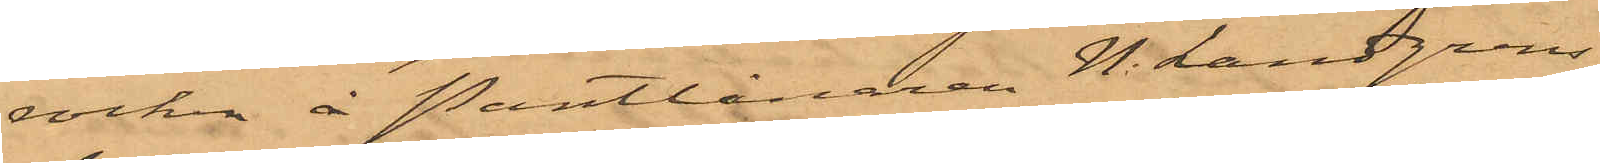rocken å Pantlånaren N. Landgrens
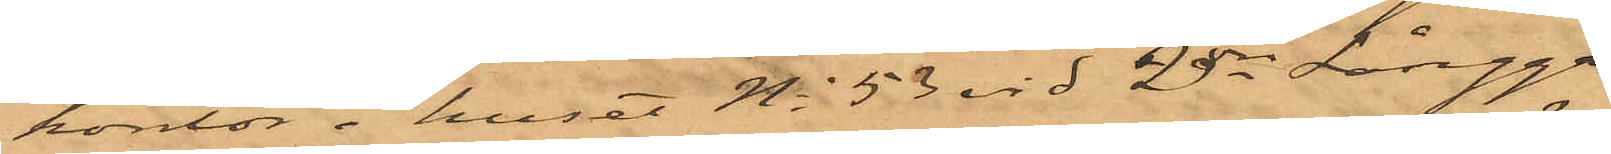kontor i huset No 53 vid 2dra Långga¬
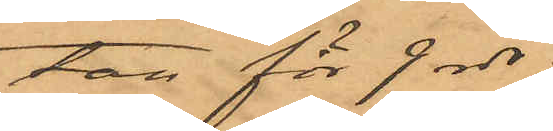tan för 9 rdr;
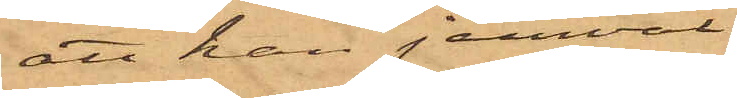att han jemväl
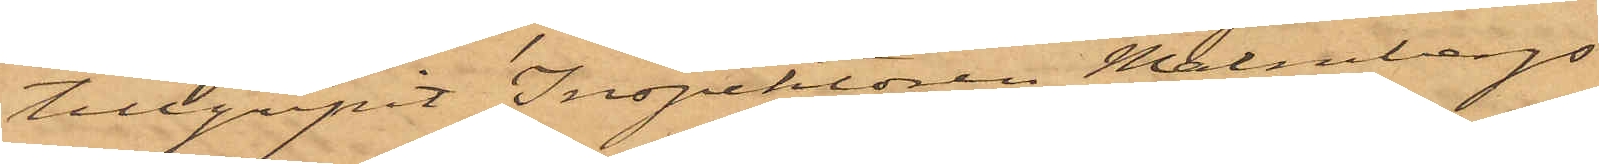tillgripit Inspektören Malmbergs
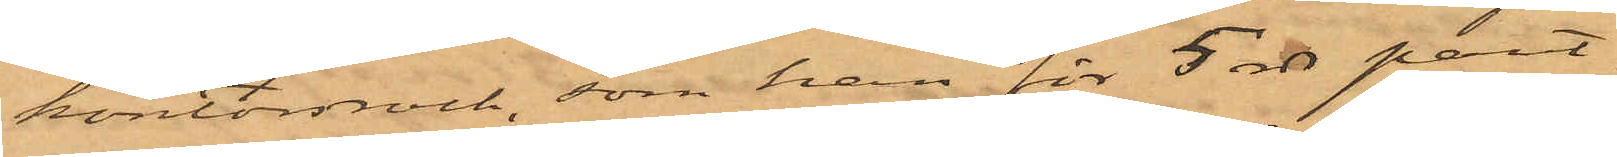kontorsrock, som han för 5 rdr pant¬
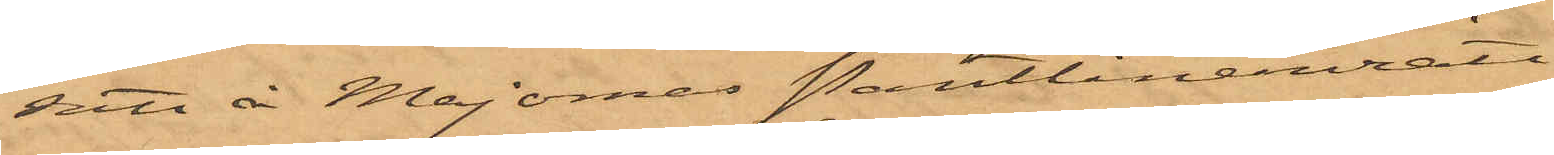satt å Majornas Pantlåneinrätt¬
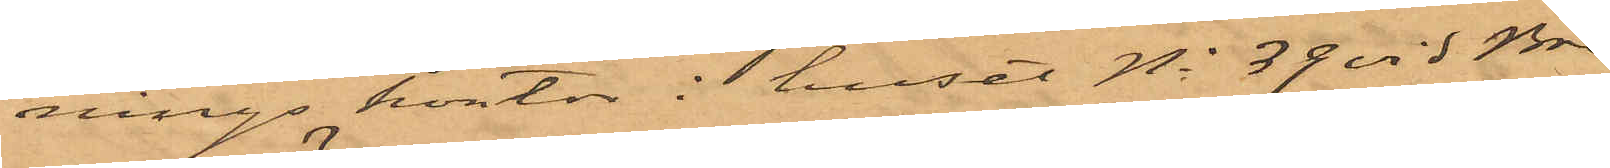nings kontor i huset No 39 vid Bre¬
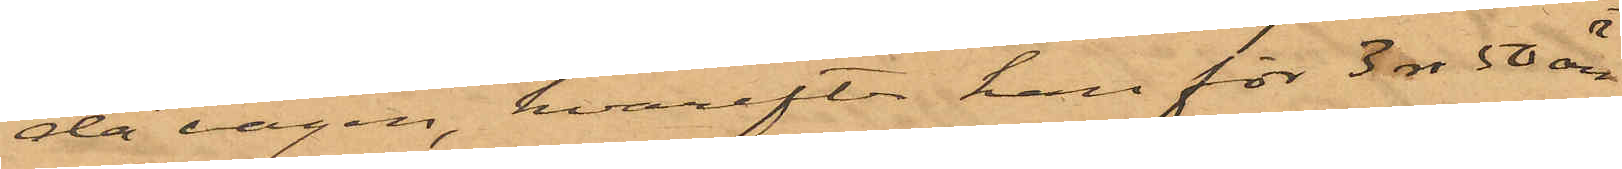da vägen, hvarefter han för 3 rdr 50 öre
